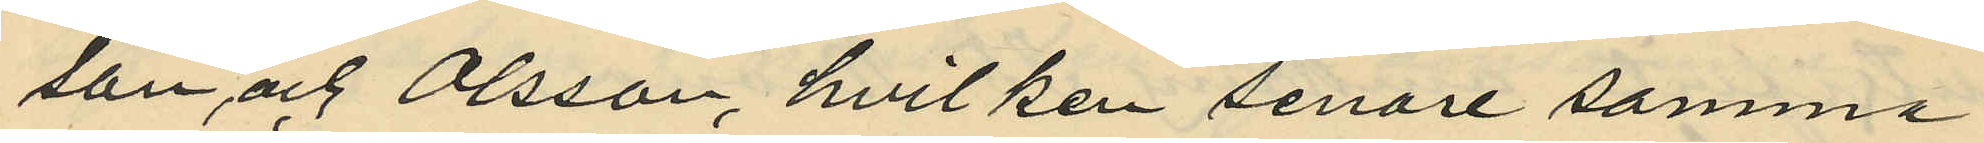son och Olsson, hvilken senare samma
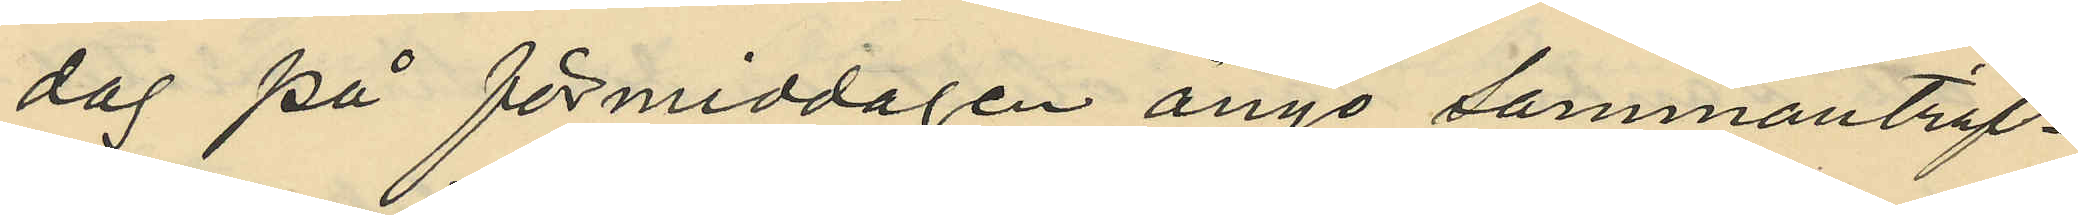dag på förmiddagen ånyo sammanträf¬
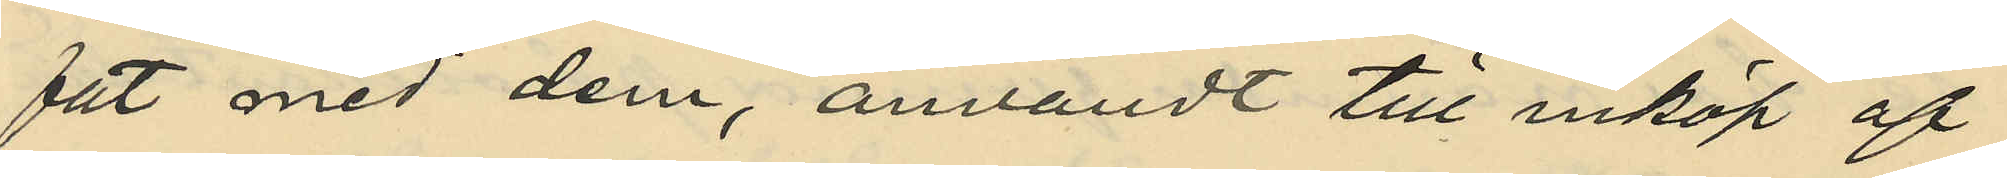fat med dem, användt till inköp af
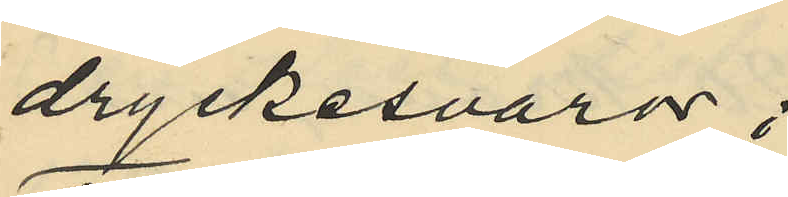dryckesvaror;
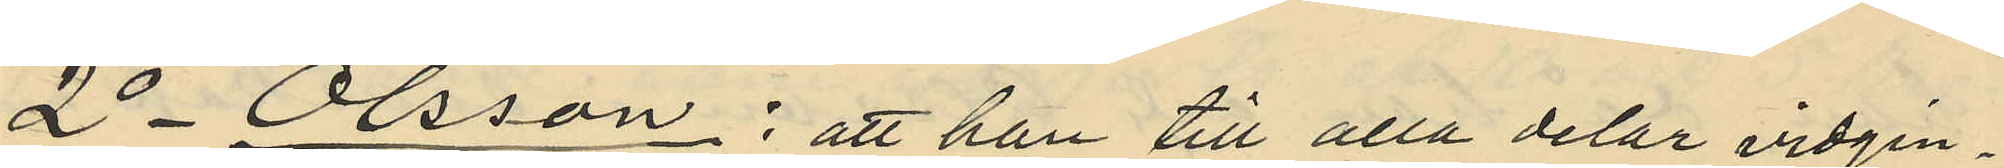2o Olsson: att han till alla delar vidgin¬
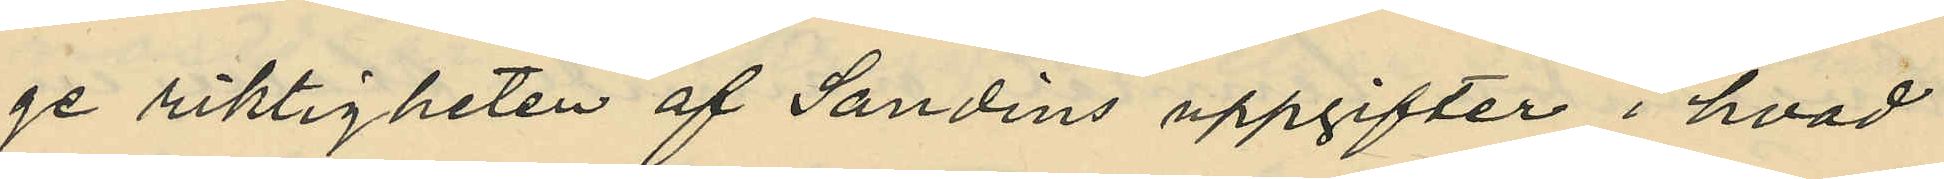ge riktigheten af Sandins uppgifter i hvad
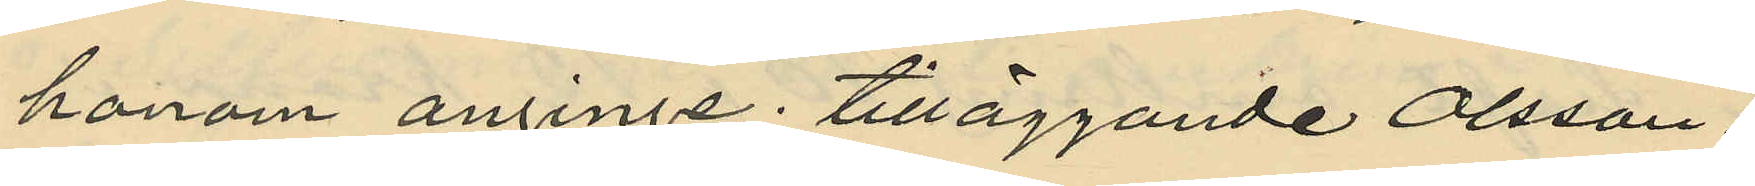honom anginge; tilläggande Olsson:
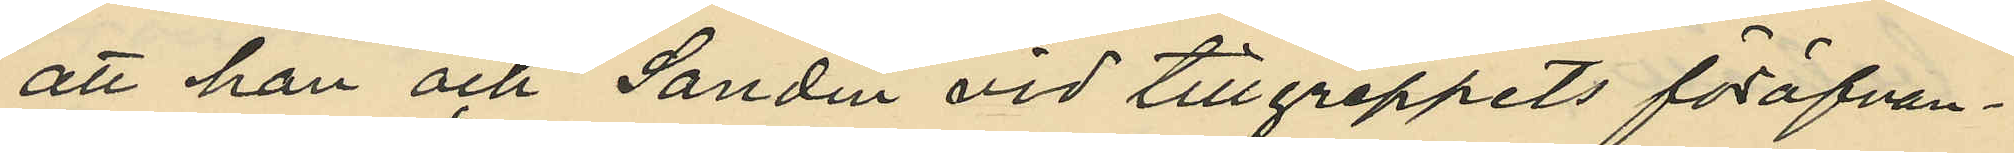att han och Sandin vid tillgreppets föröfvan¬
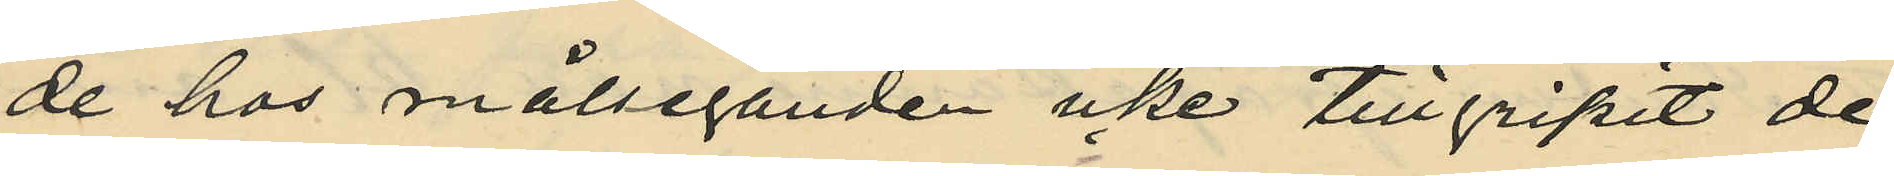de hos målseganden icke tillgripit de
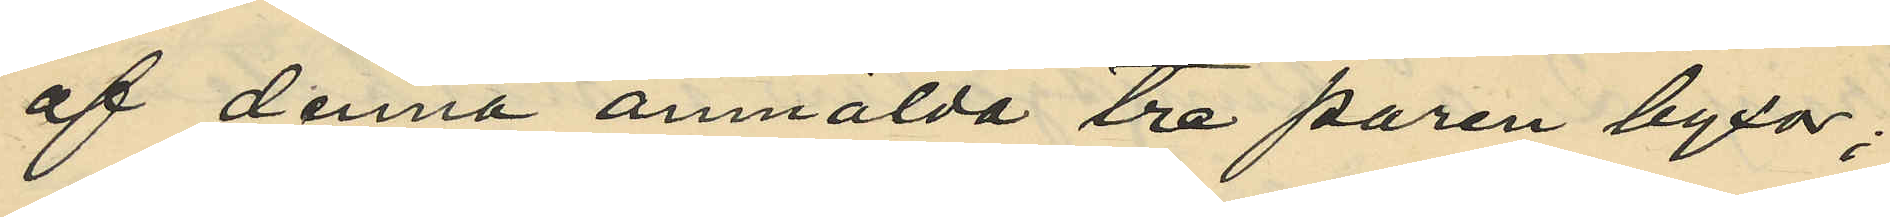af denna anmälda tre paren byxor;
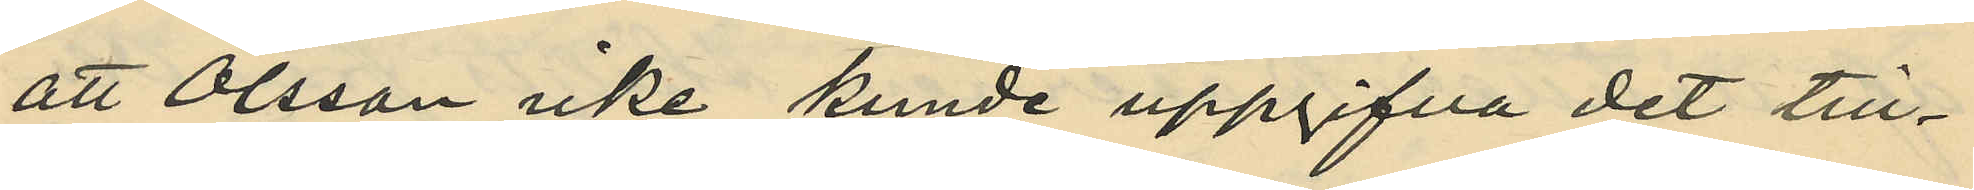att Olsson icke kunde uppgifva det till¬
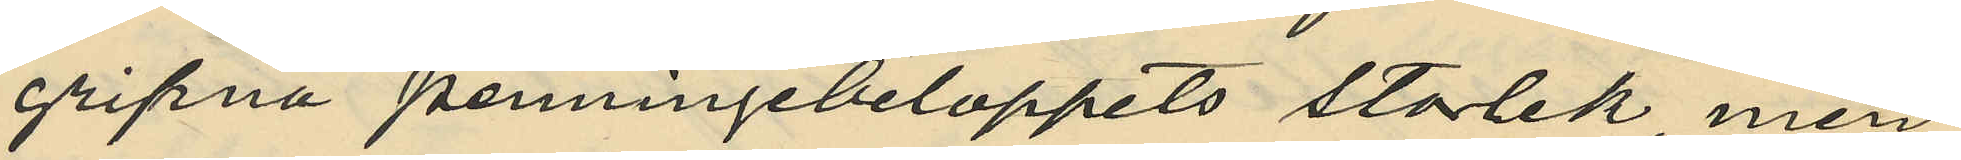gripna penningebeloppets storlek, men
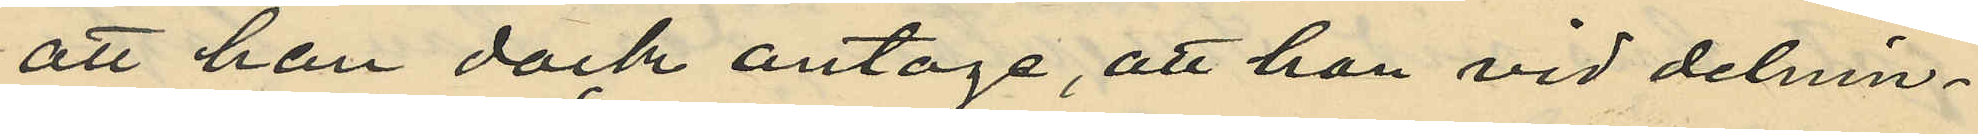att han dock antoge, att han vid delnin¬
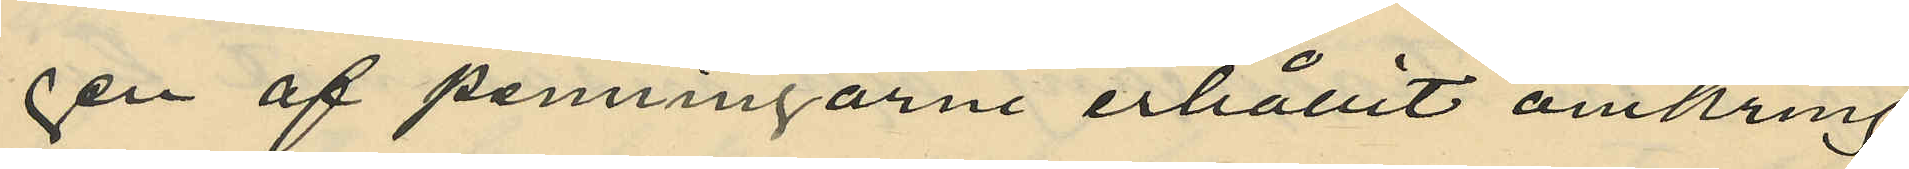gen af penningarne erhållit omkring
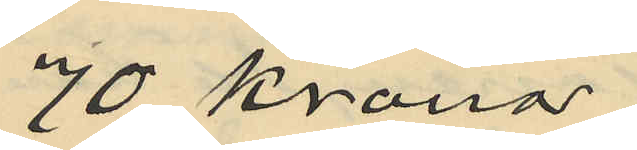70 kronor;
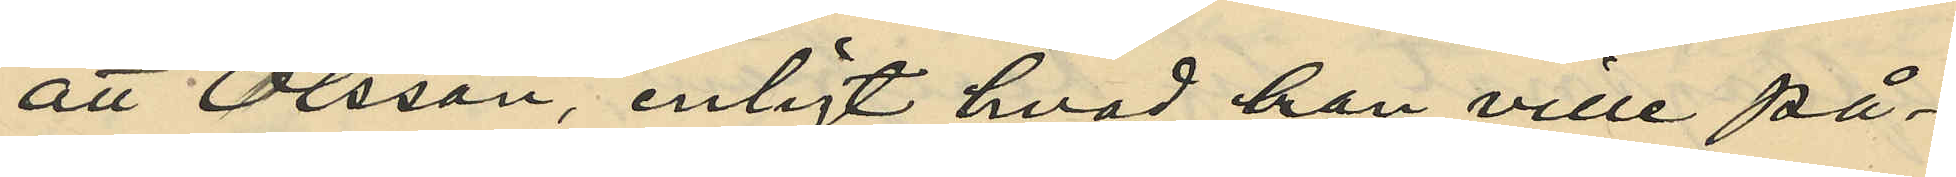att Olsson, enligt hvad han ville på¬
